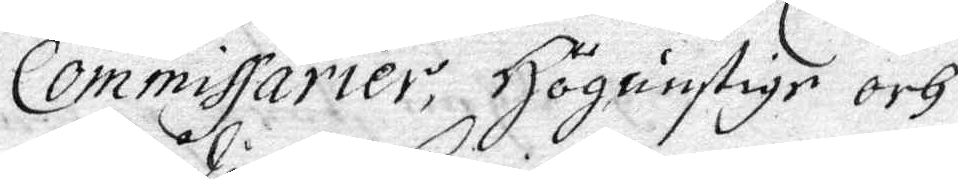Commissiarier, Höggunstige och
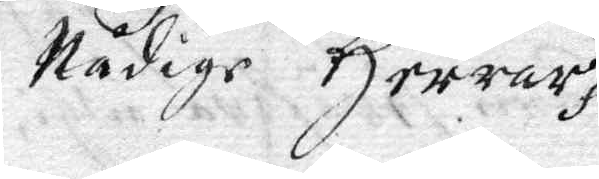Nådige Herrar.
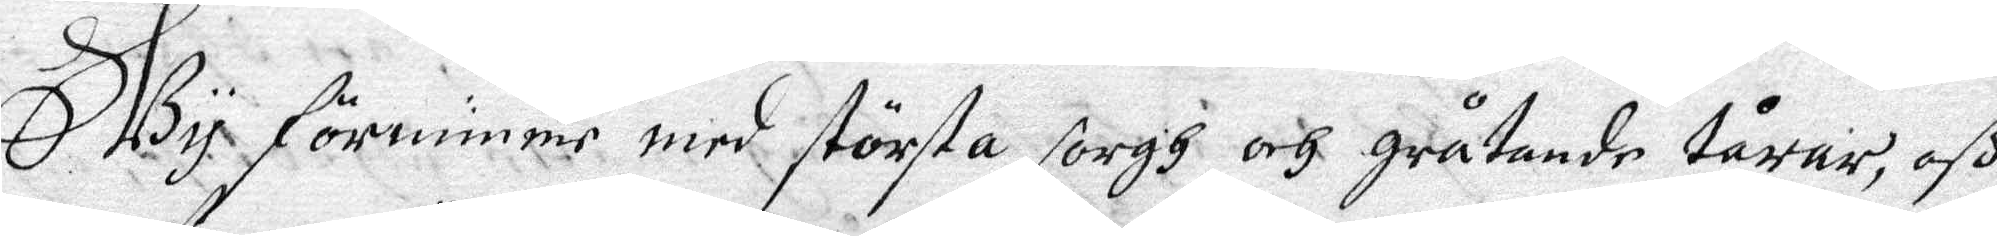Wy förnimmer med största sorgh och gråtande tårar, oß
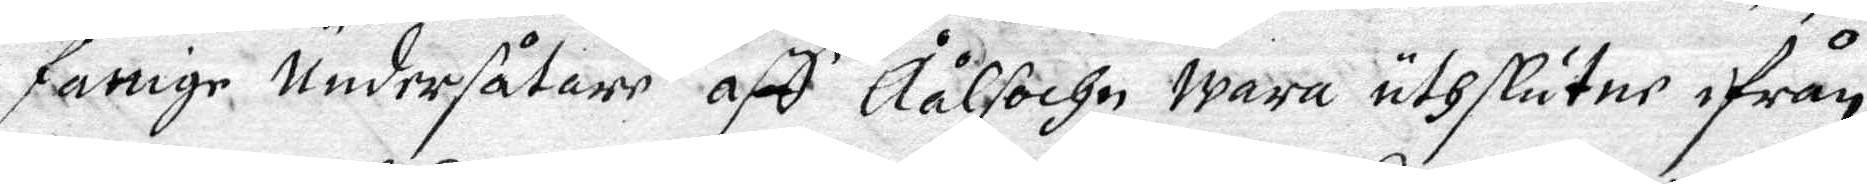fattige Undersåtar aff Åålsochn wara uthslutne ifrån
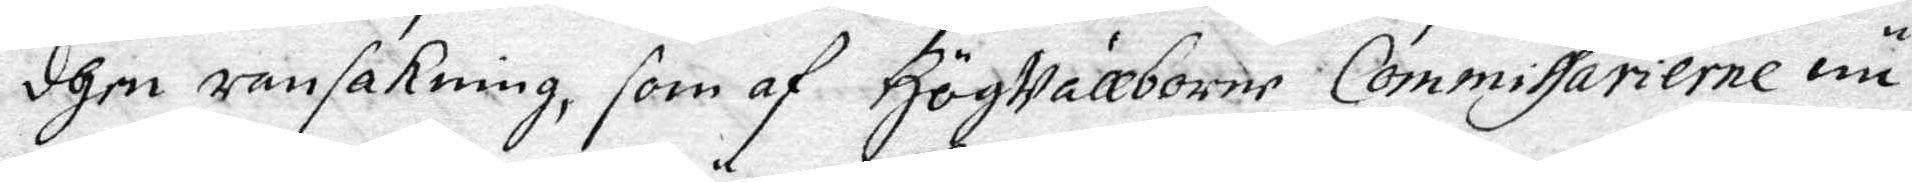dhen ransakning, som af Högwällborne Commissarierne nu
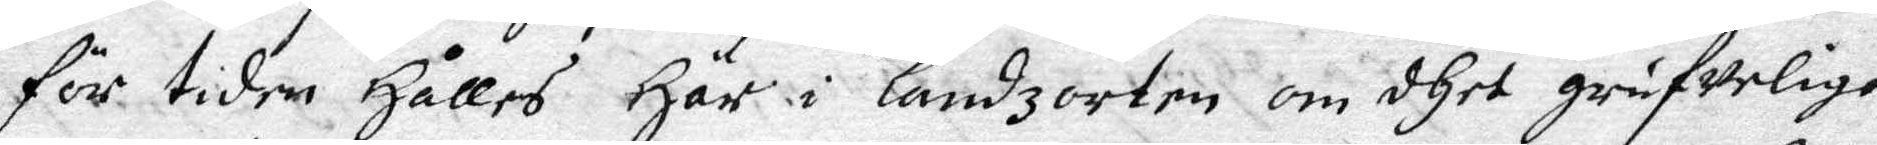för tiden Hålles Här i landzorten om dhet grufweliga
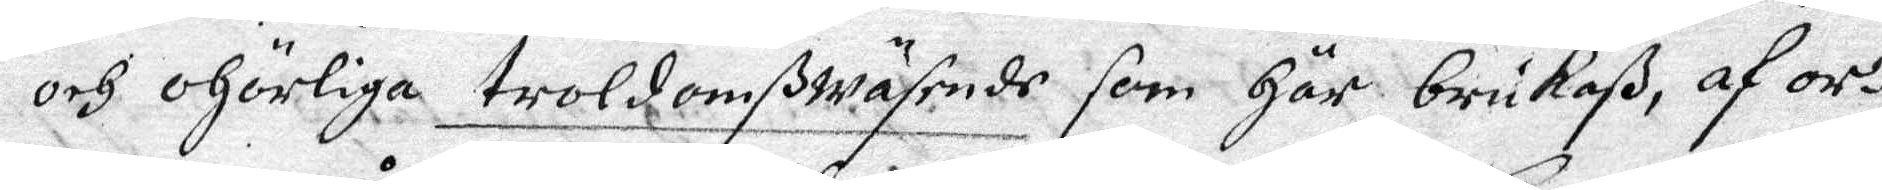och ohörliga trolsomßwäsende som Här brukaß, af or¬
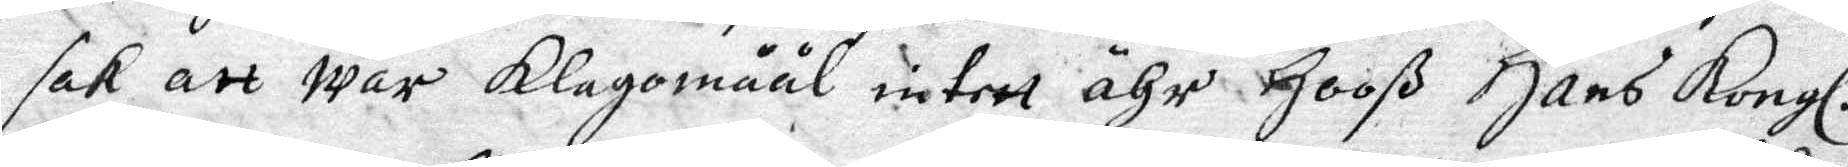sak att wår Klagomåål intet ähr Hooß Hans Kongl.
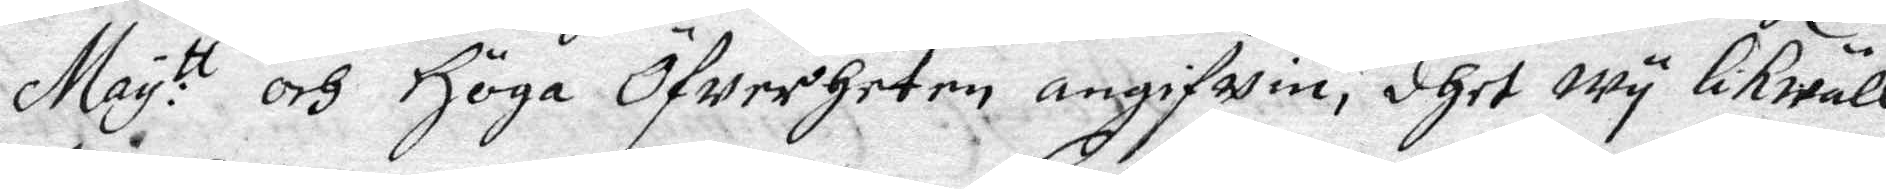May:tt och Höga Öfwerheten angifven, dhet wy likwäll
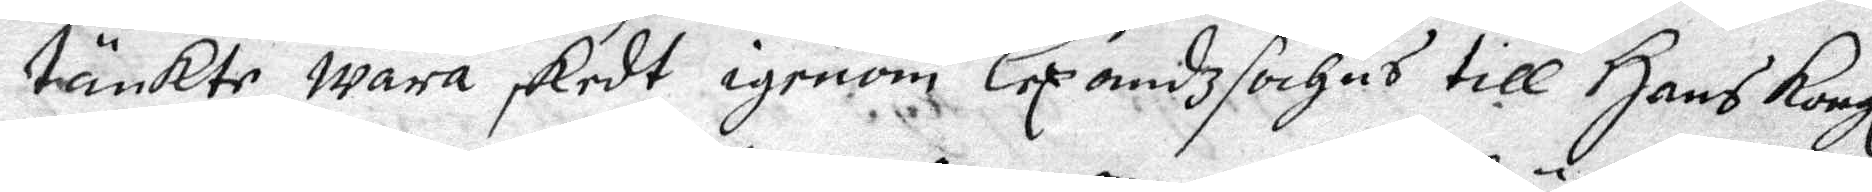tänker wara skedt igenom Lexandzfochns till Hans Kongl
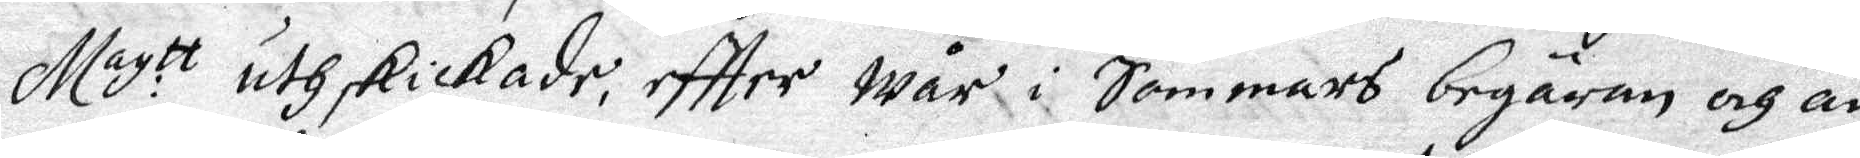May:tt ithskickade, eftter wår i Sommars begäran och an¬
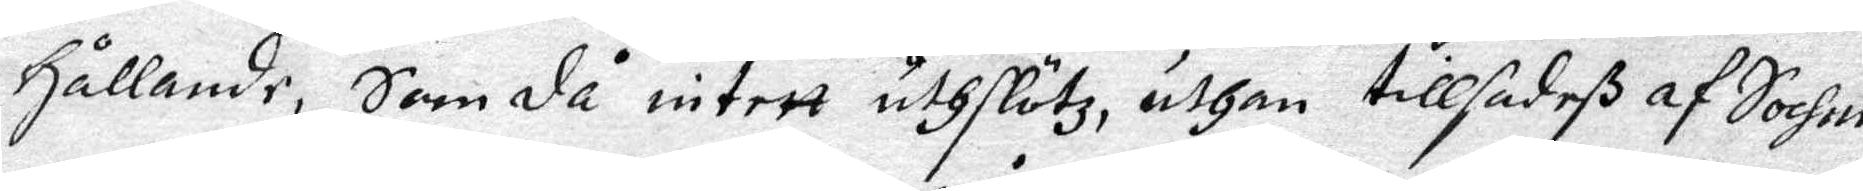hållande, som då intett uthslötz uthan tillsadeß af Sochne¬
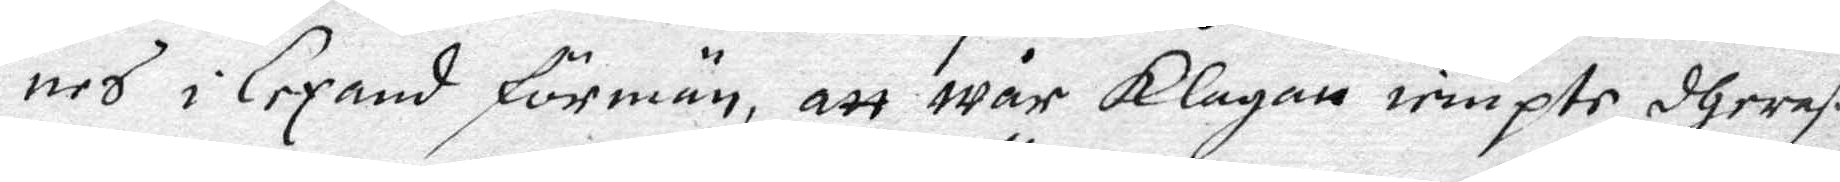nes i Lexand förmän, att wår Klagan iempte dheraß
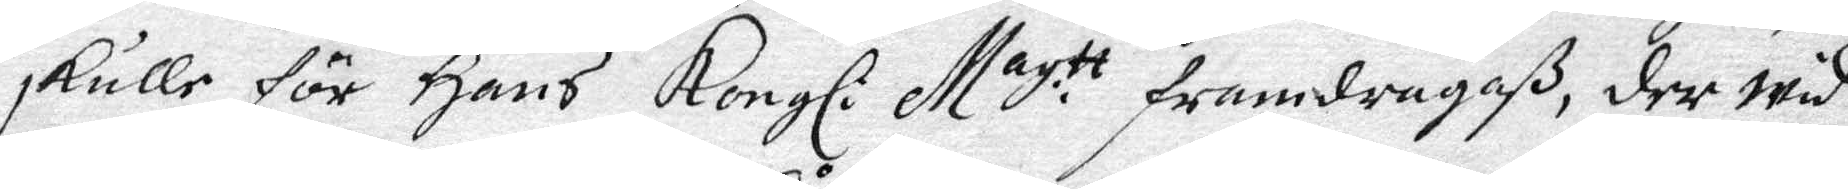skulle för Hans Kongl: May.tt framdragaß, der wid
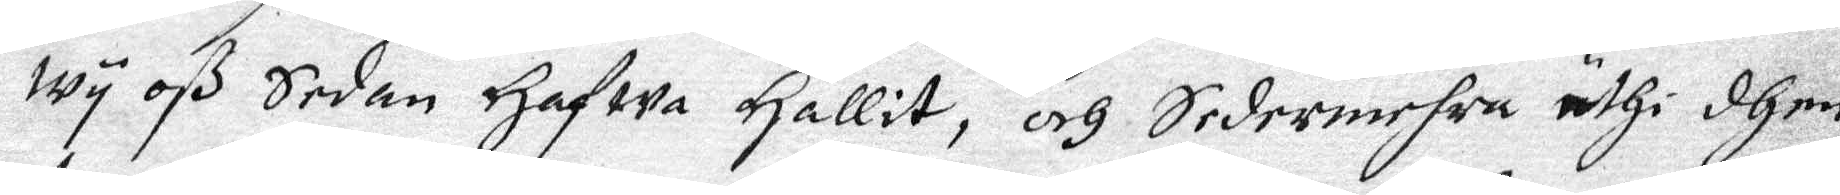wy oß sedan Hafwa Hållit, och Sedermehra uthi dhem
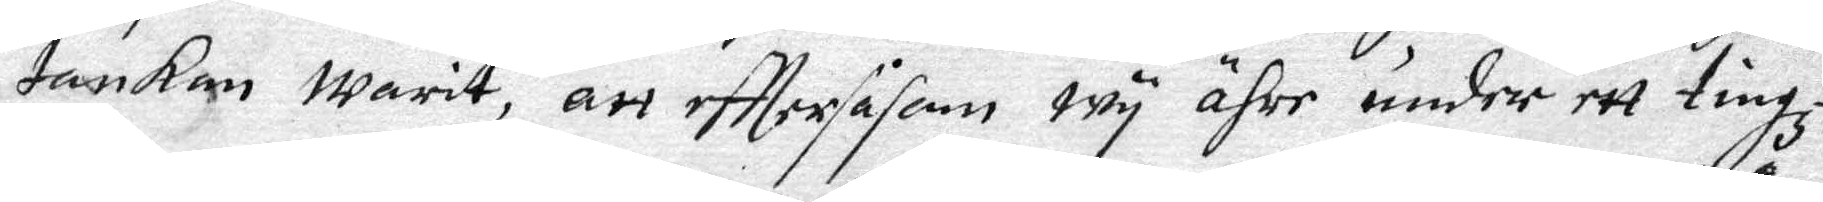tankan warit, att efttersåsom wy ähre under ett tingz¬
